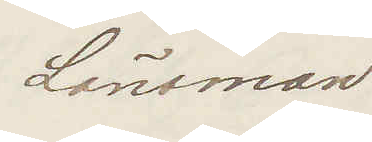Länsman
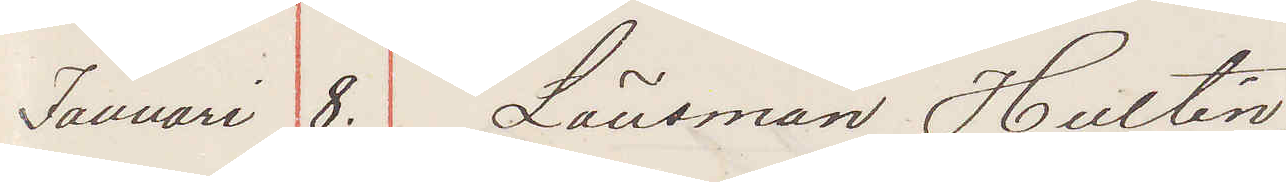Januari 8. Länsman Hultén
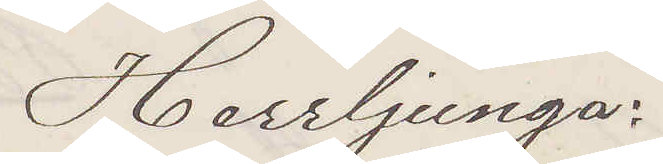Herrljunga:
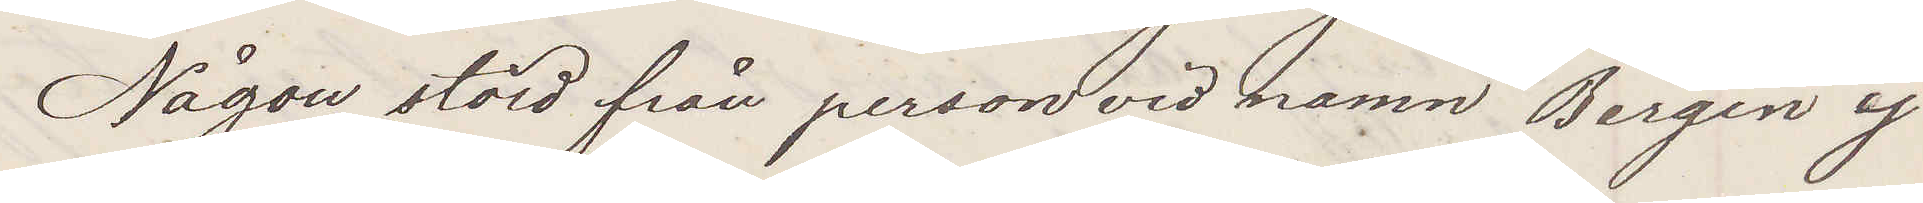Någon stöld från person vid namn Bergin ej
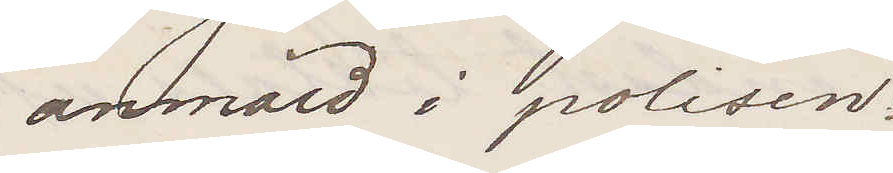anmäld i polisen:
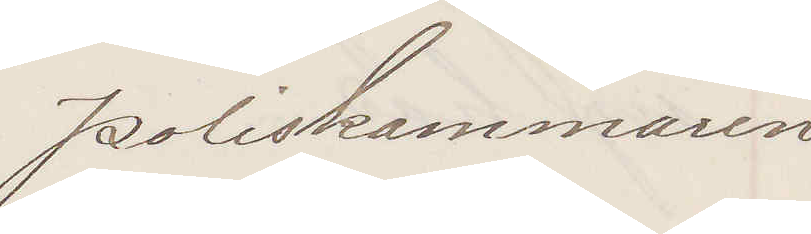Poliskammaren
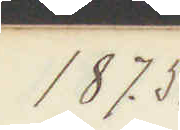1875.
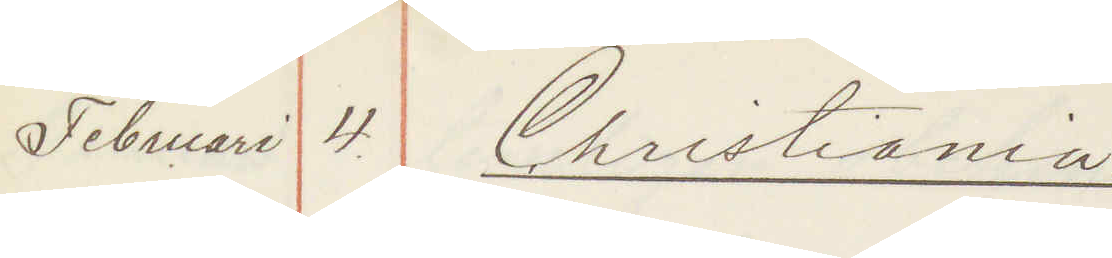Februari 4. Christiania:
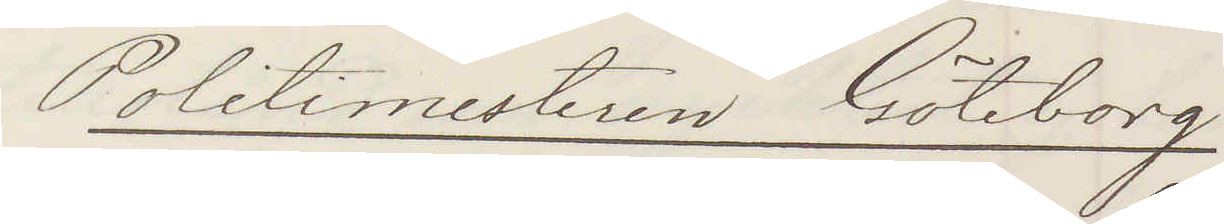Politimesteren Göteborg
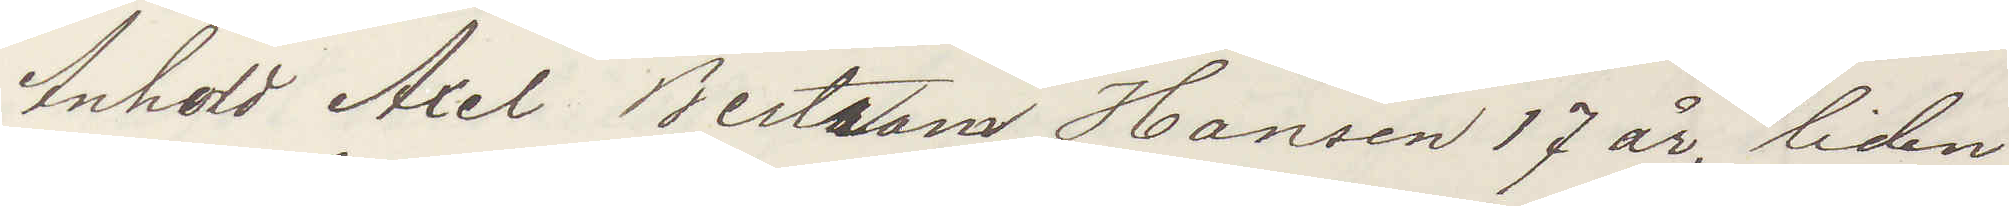Anhold Axel Bertram Hansen 17 år, liden,
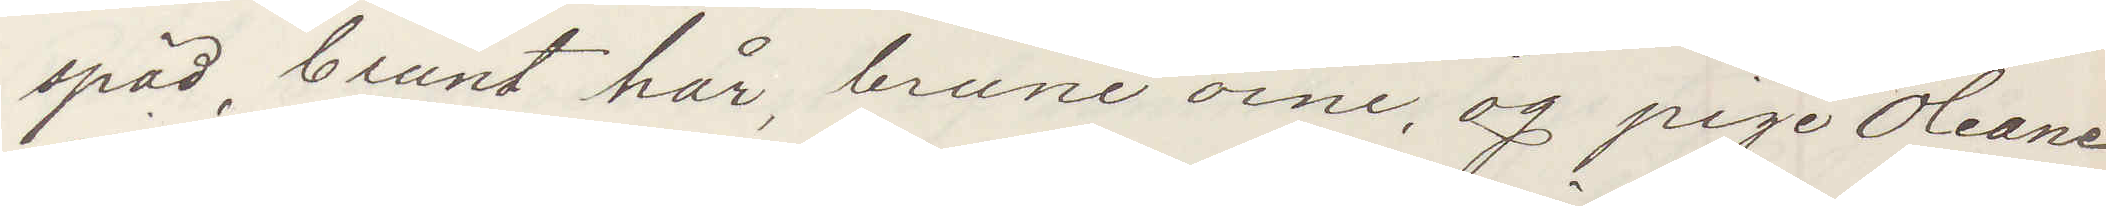späd, brunt hår, brune oine, og pige Oleane
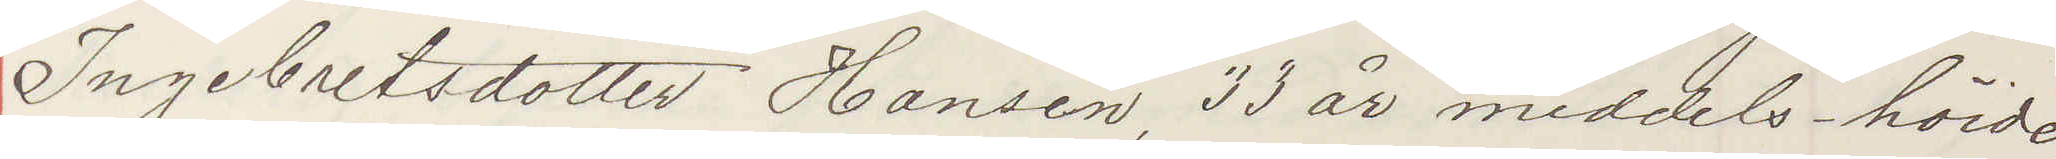Ingebretsdotter Hansen, 33 år middels-höide,
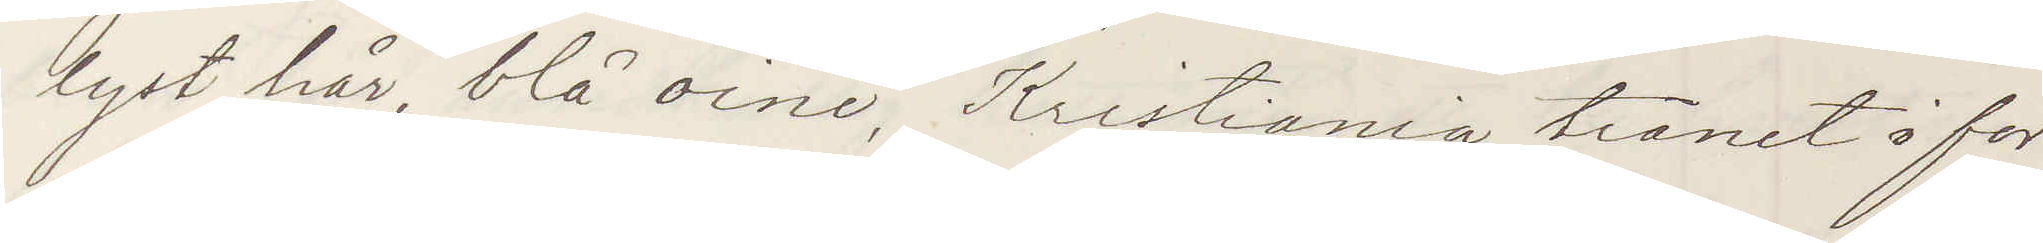lyst hår, blå oine, Kristiania tränet i for¬
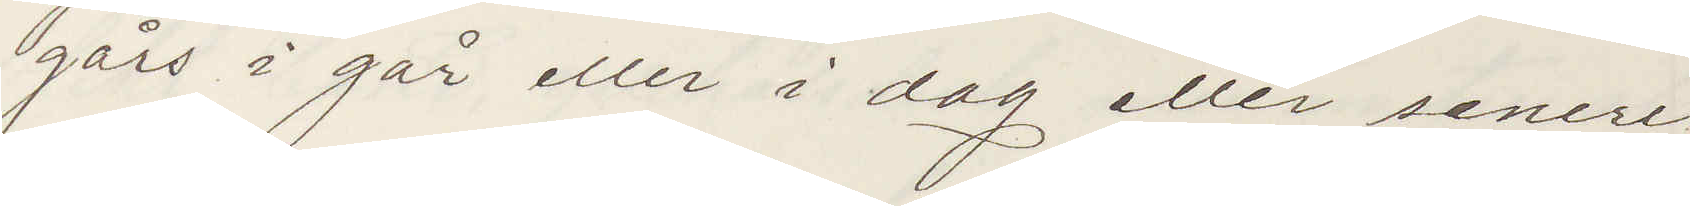gårs i går eller idag eller senere.
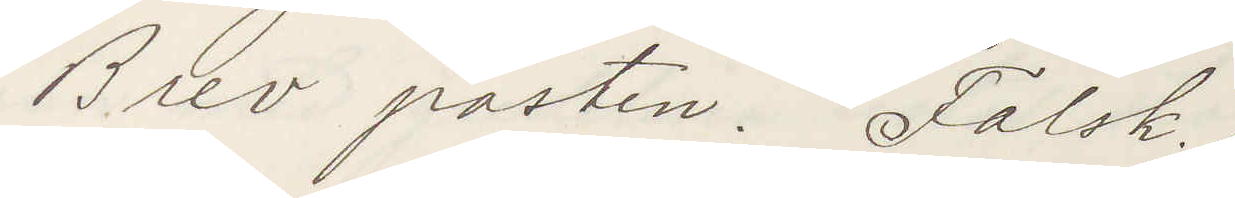Brev posten. Falsk.
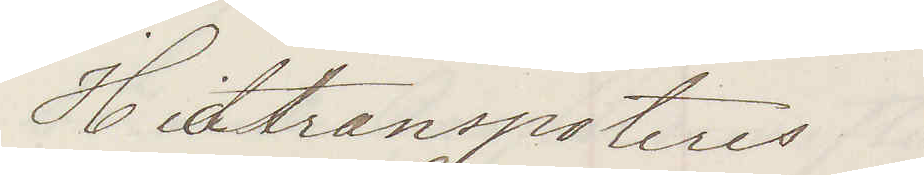Hidtransporteres
